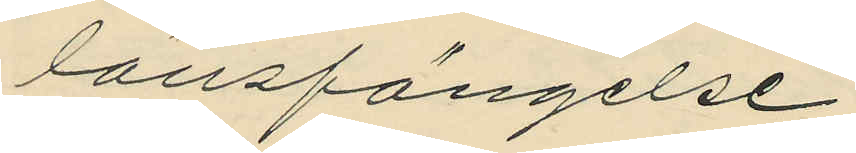länsfängelse.
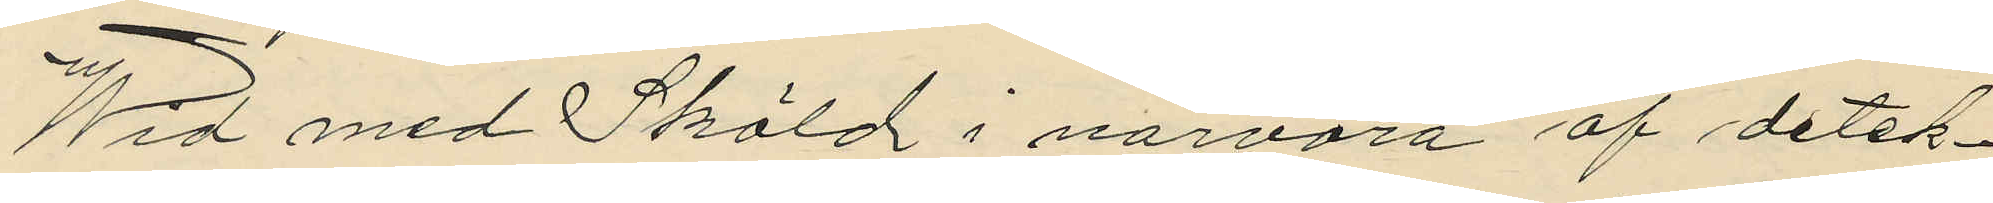Wid med Sköld i närvaro af detek¬
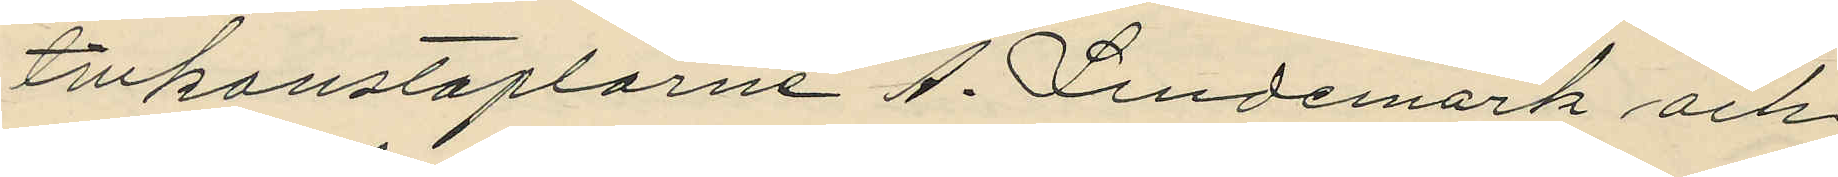tivkonstaplarne A. Lindemark och
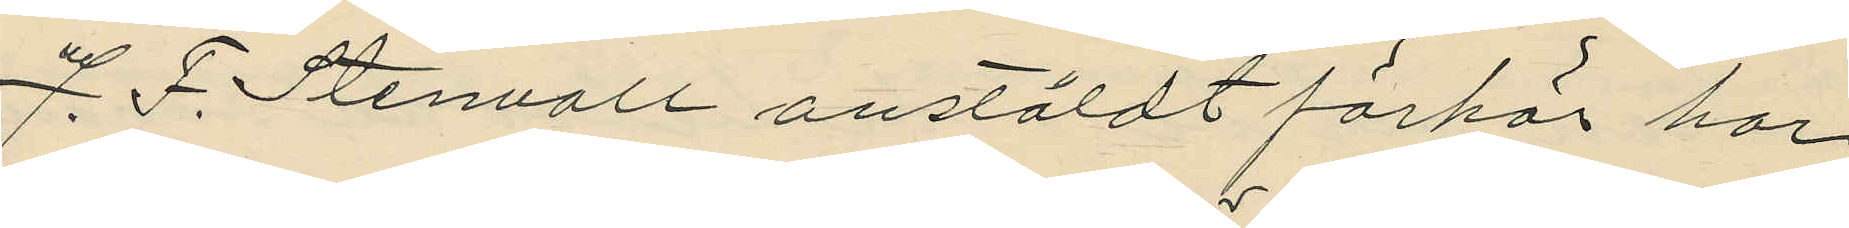J. F. Stenvall anstäldt förhör har
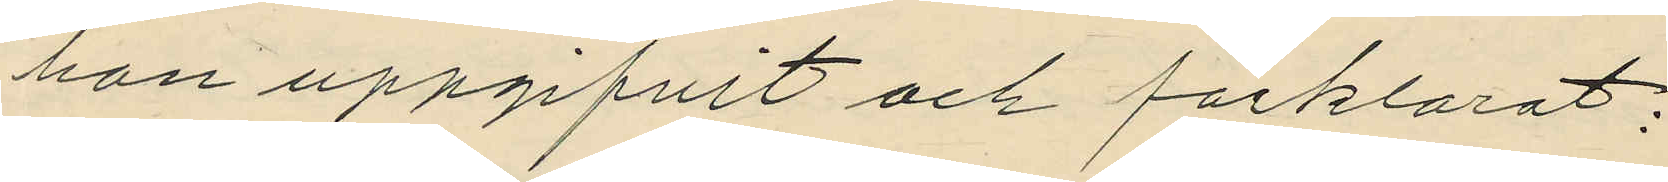han uppgifvit och förklarat:
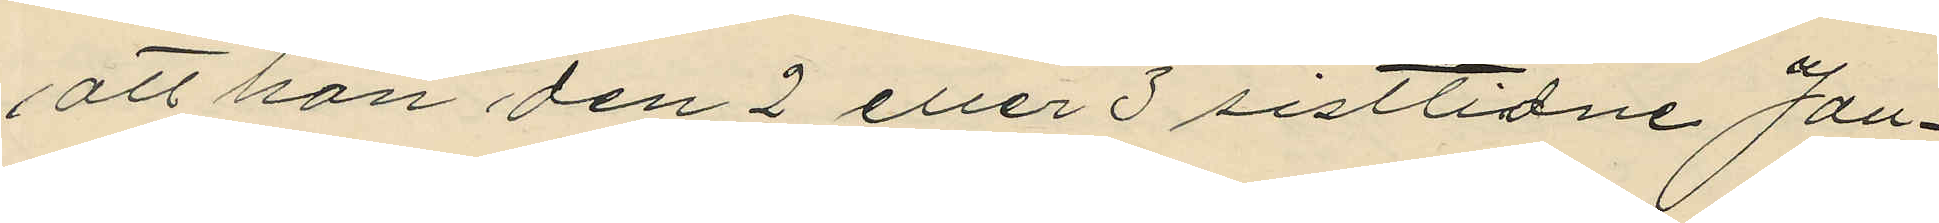att han den 2 eller 3 sistlidne Jan¬
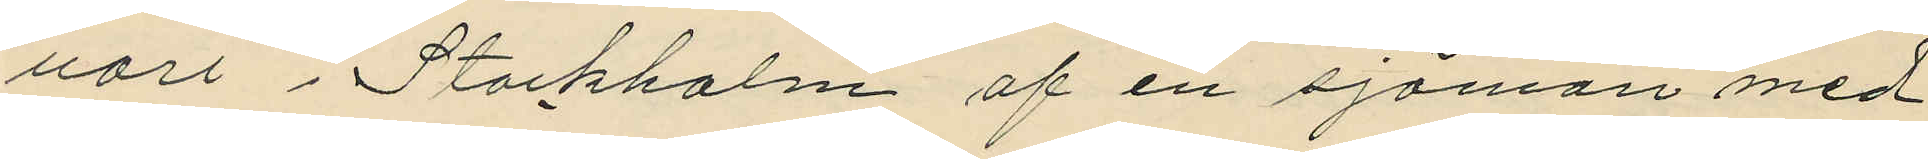uari i Stockholm af en sjöman med
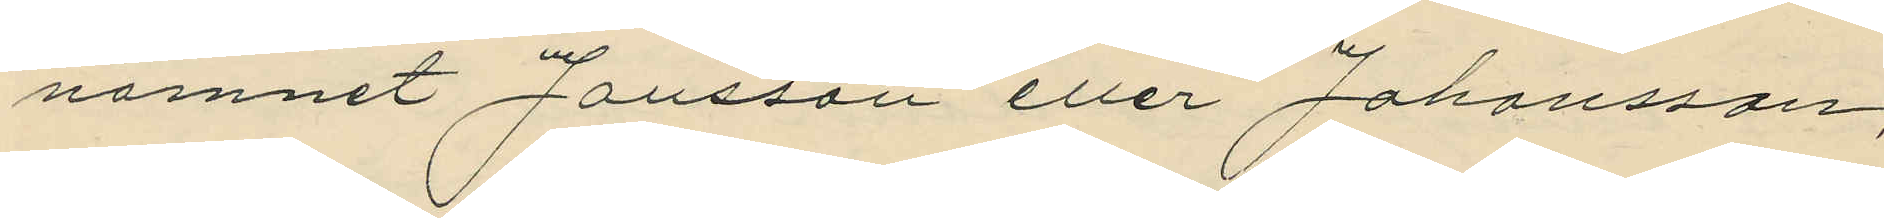namnet Jansson eller Johansson,
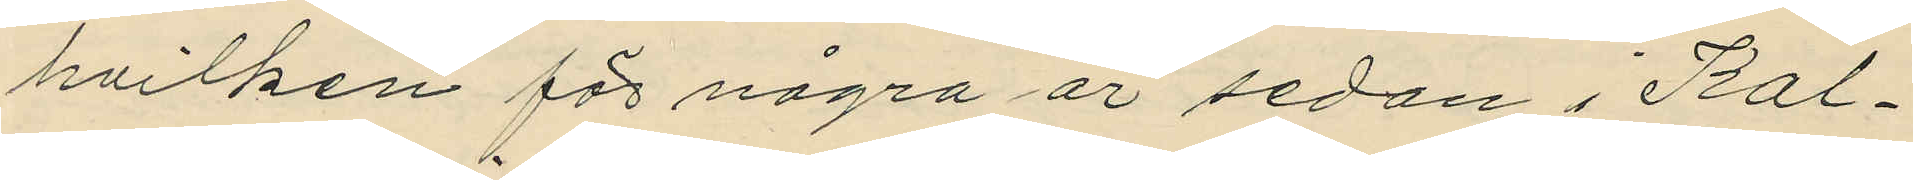hvilken för några år sedan i Kal¬
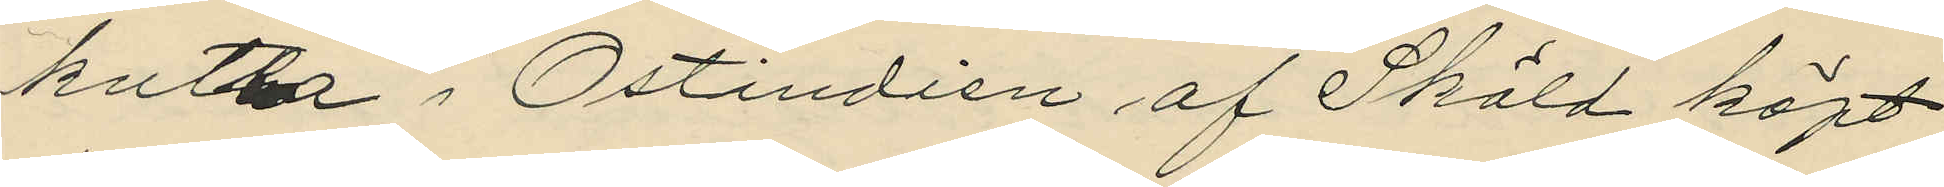kutta i Ostindien af Sköld köpt
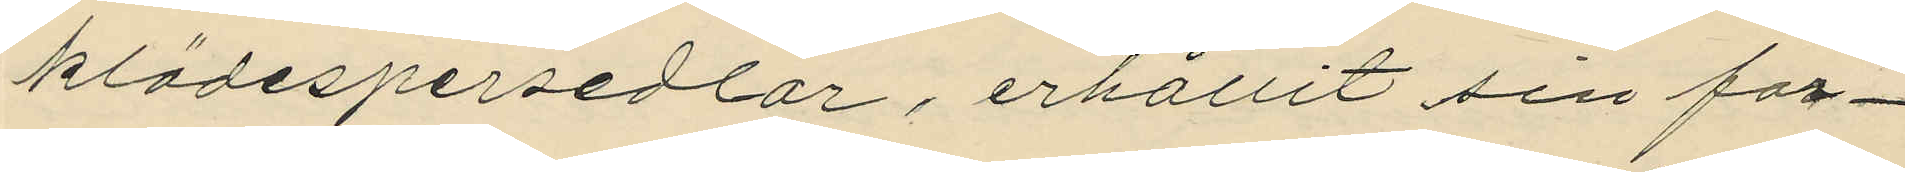klädespersedlar, erhållit sin for¬
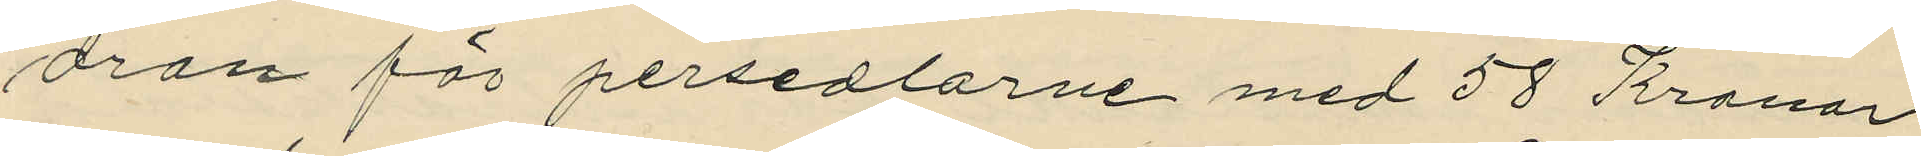dran för persedlarne med 58 Kronor
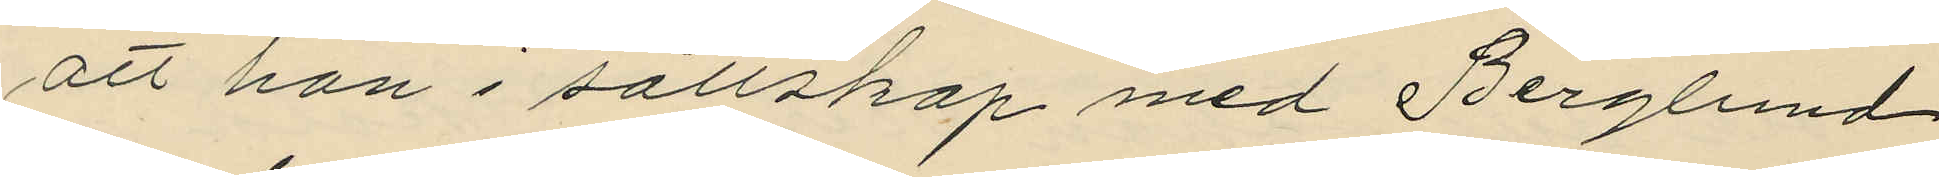att han i sällskap med Berglund
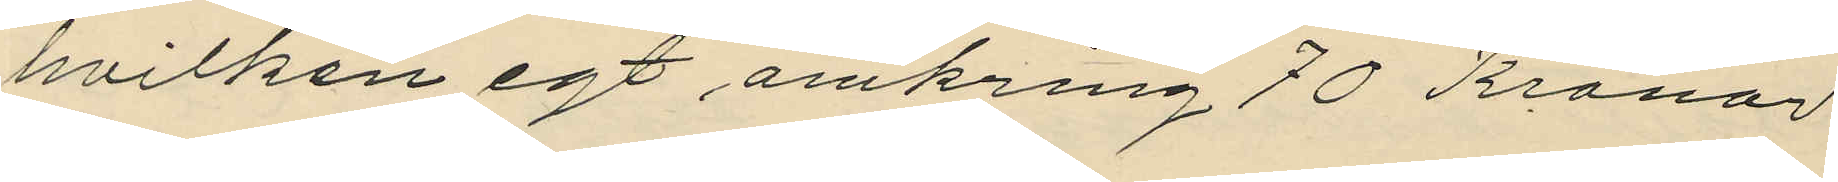hvilken egt omkring 70 Kronor
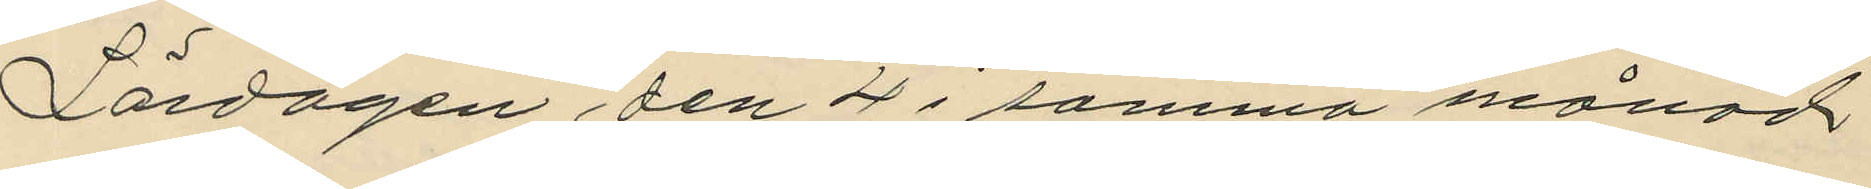Lördagen den 4 i samma månad
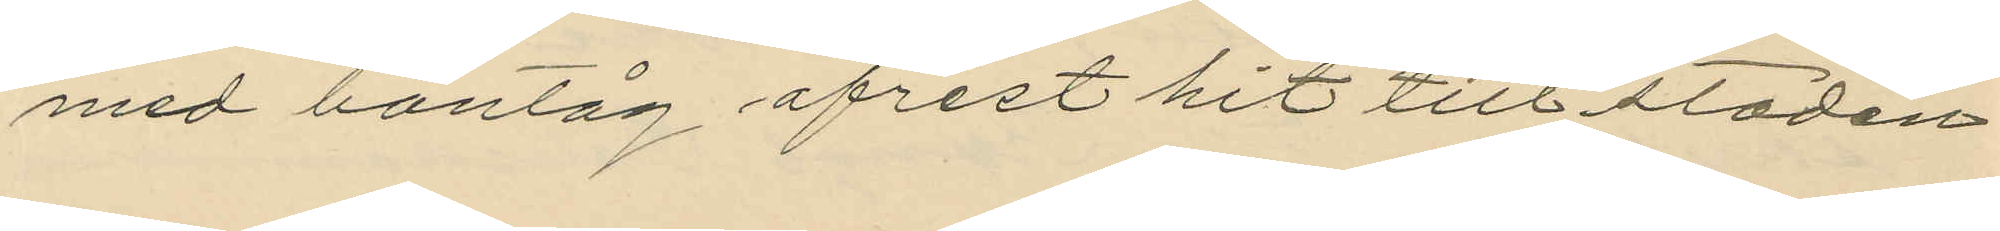med bantåg afrest hit till staden
